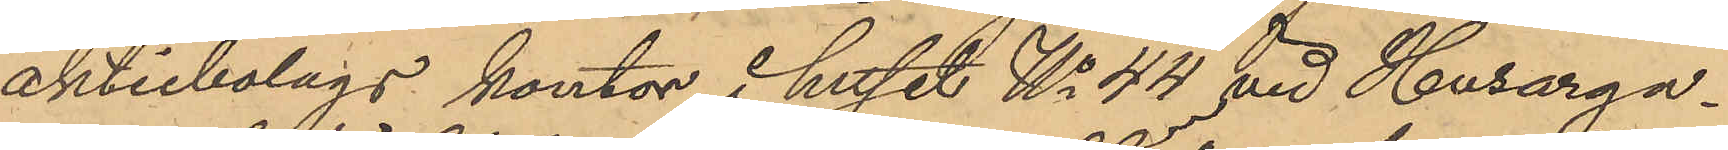aktiebolags kontor i huset No 44 vid Husarga¬
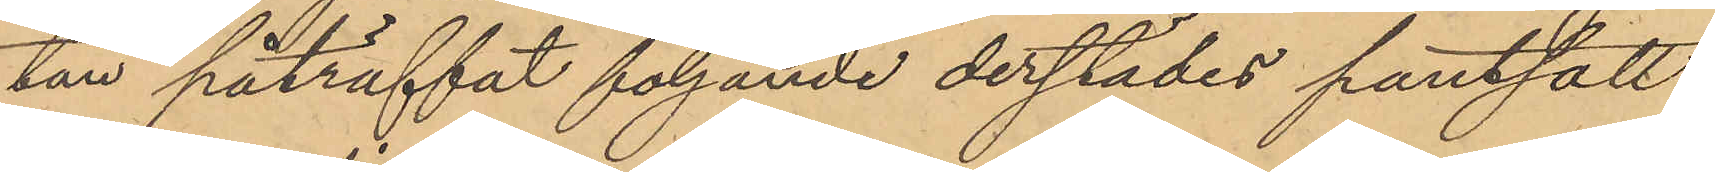tan påträffat följande derstädes pantsatt
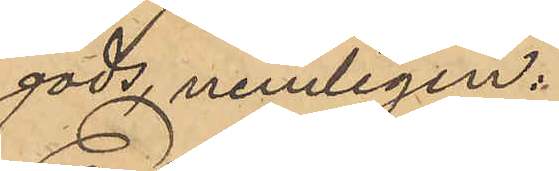gods nemligen:
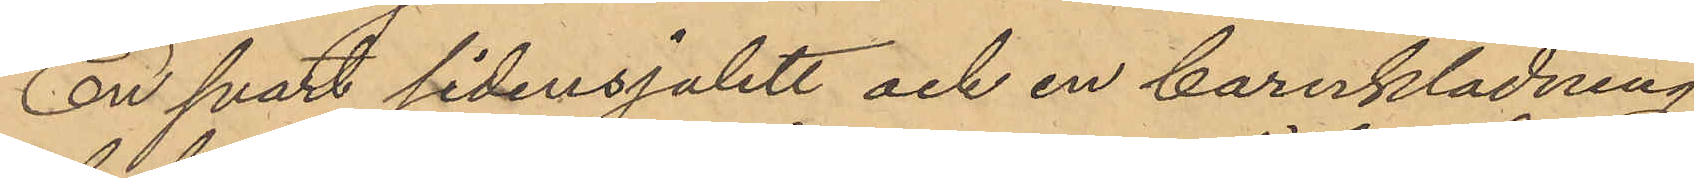En svart sidensjalett och en barnklädning
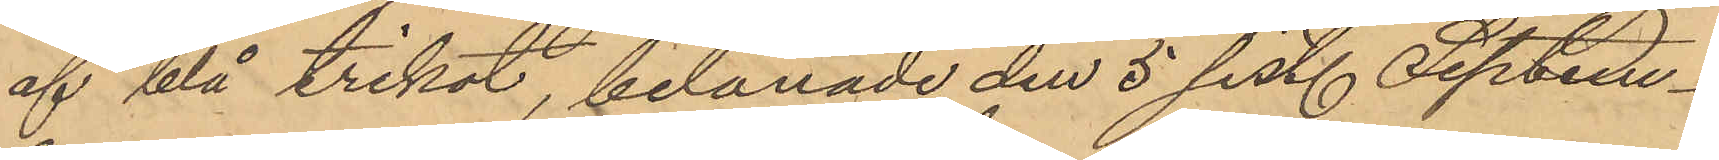af blå trikot, belånade den 5 sist. Septem¬
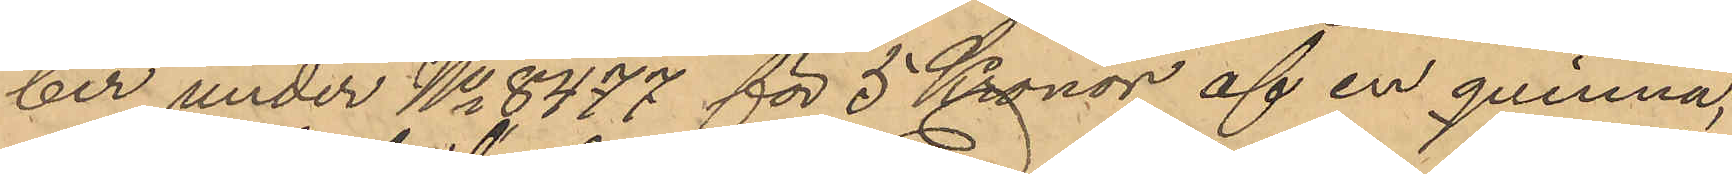ber under No 8477 för 5 Kronor af en qvinna,
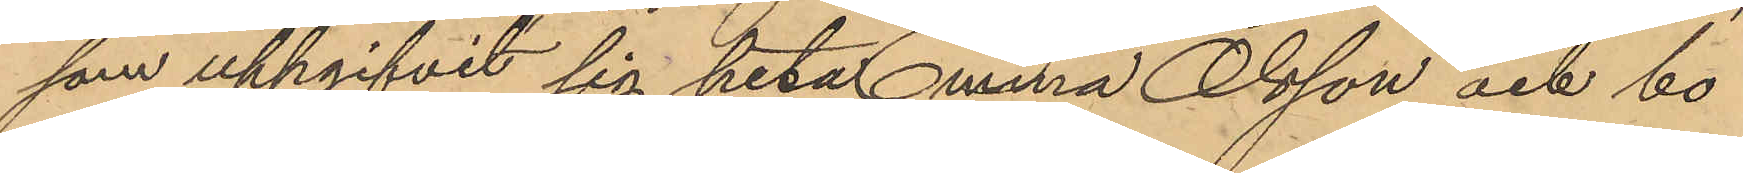som uppgifvit sig heta Emma Olsson och bo¬
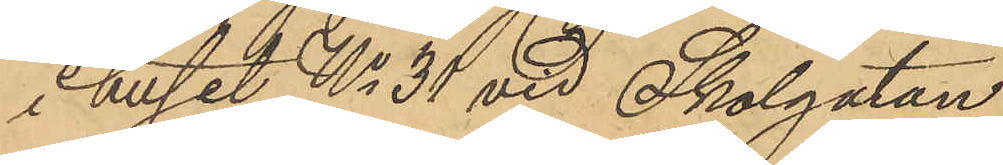i huset No 31 vid Skolgatan,
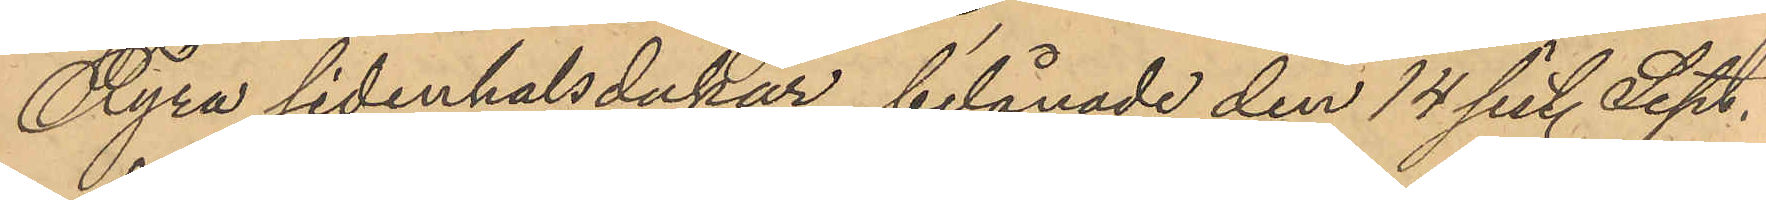Fyra sidenhalsdukar belånade den 14 sist. Sept.
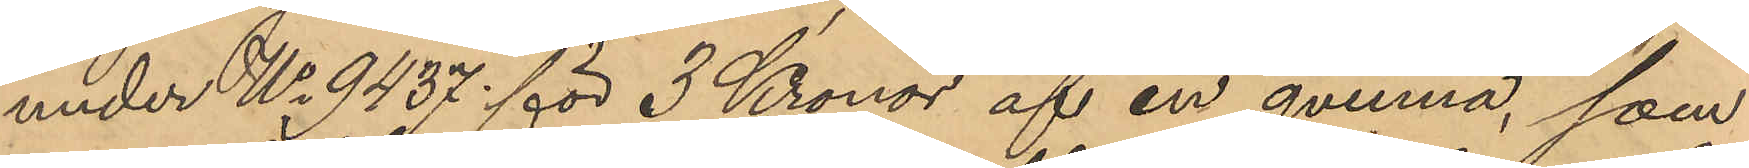under No 9437 för 3 Kronor af en qvinna, som
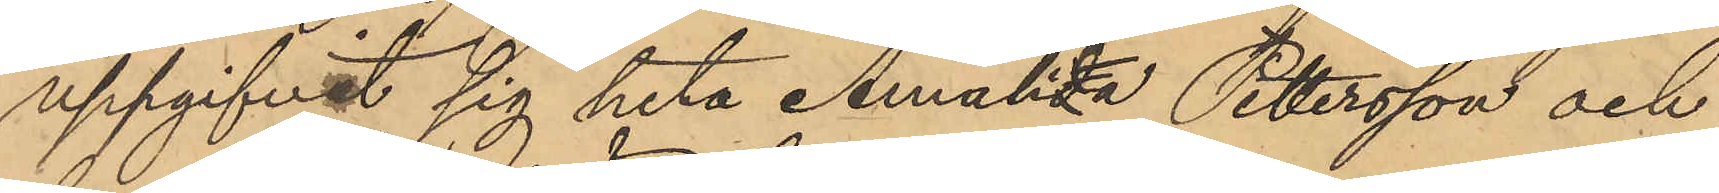uppgifvit sig heta Amalida Petersson och
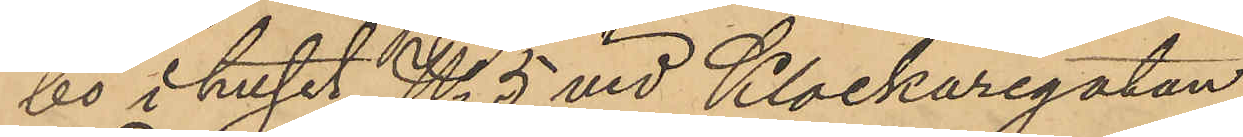bo i huset No 5 vid Klockaregatan,
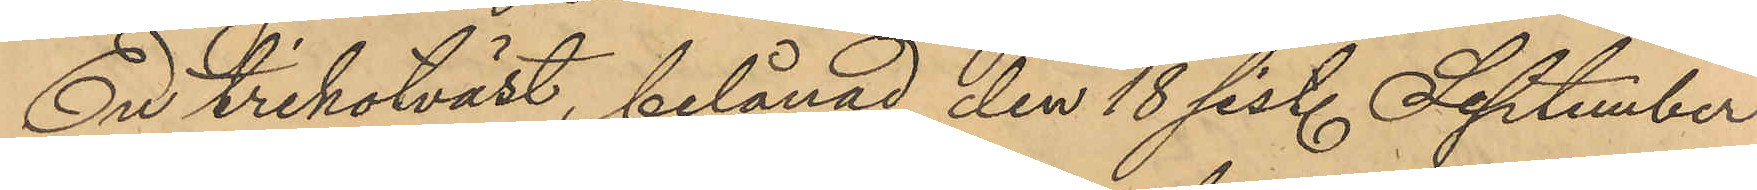En trikotväst, belånad den 18 sist. September
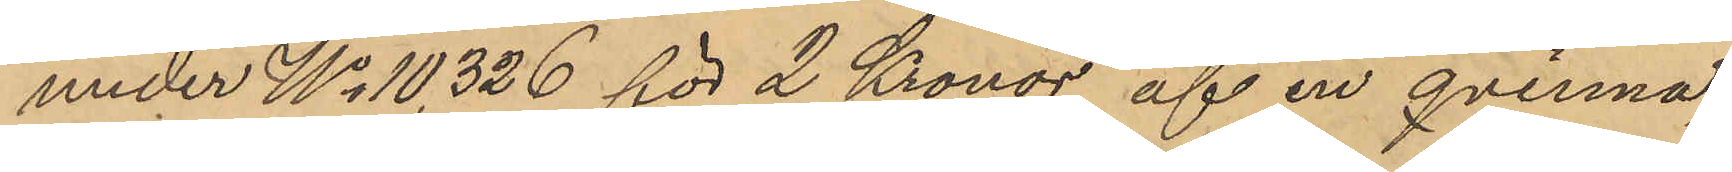under No 10,326 för 2 Kronor af en qvinna,
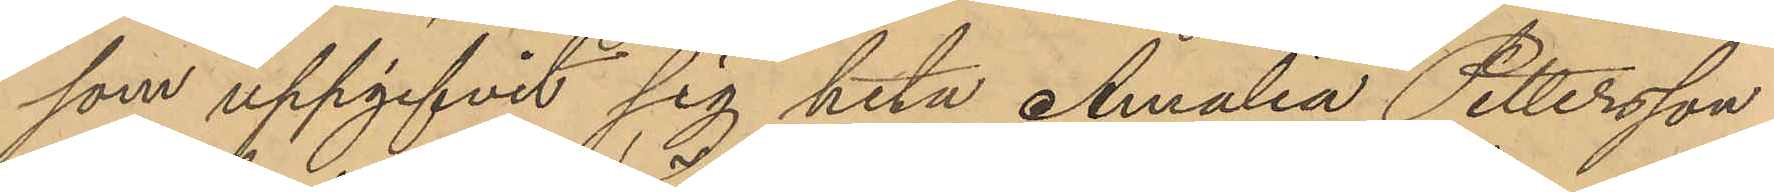som uppgifvit sig heta Amalia Pettersson
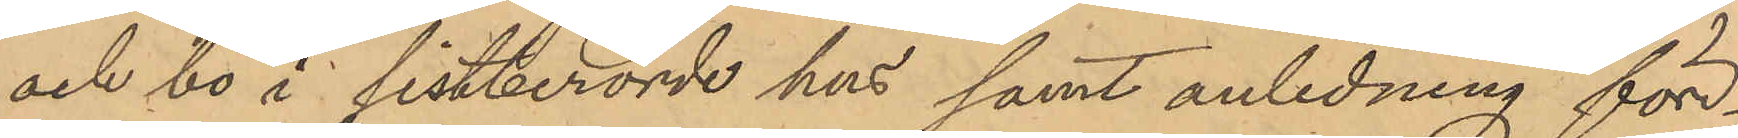och bo i sistberörde hus samt anledning för¬
